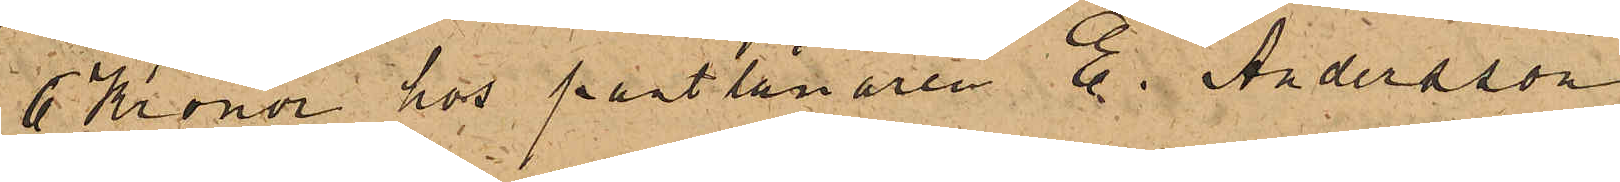6 Kronor hos pantlånaren E. Andersson
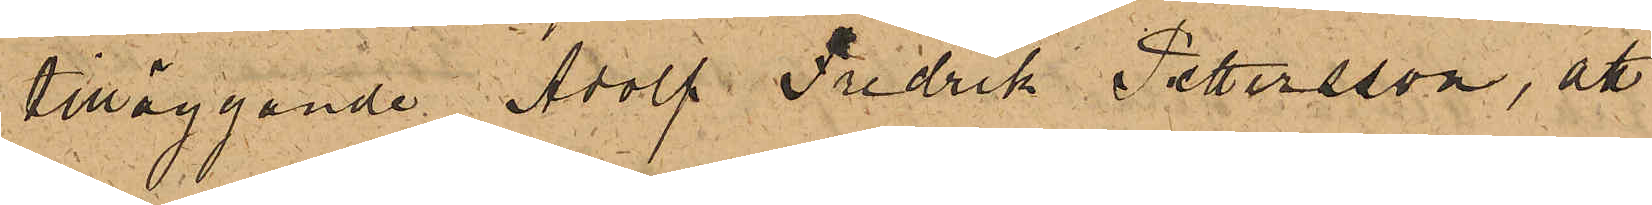tilläggande Adolf Fredrik Pettersson, att
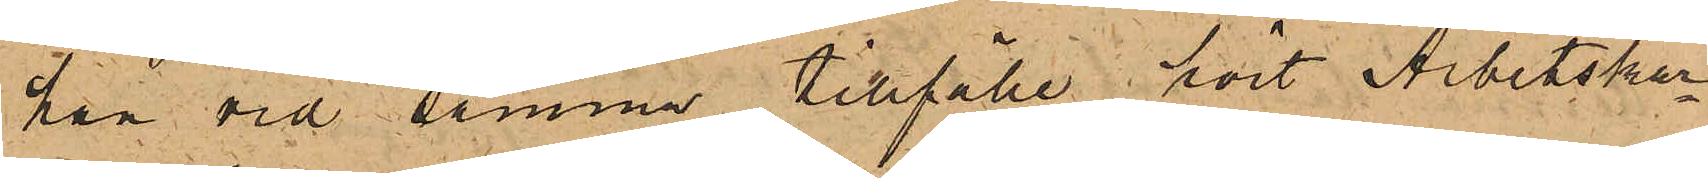han vid samma tillfälle hört Arbetskar¬
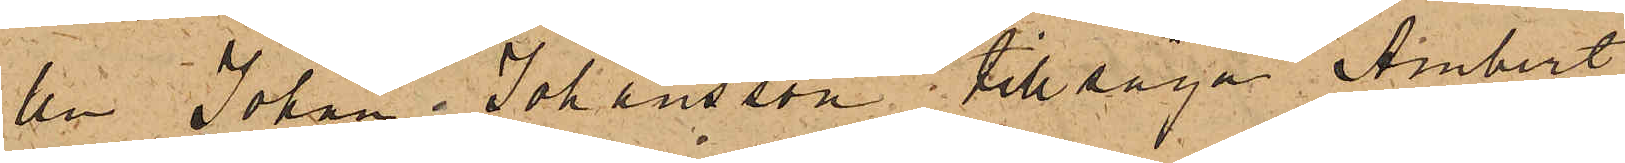len Johan Johansson tillsäga Ambert
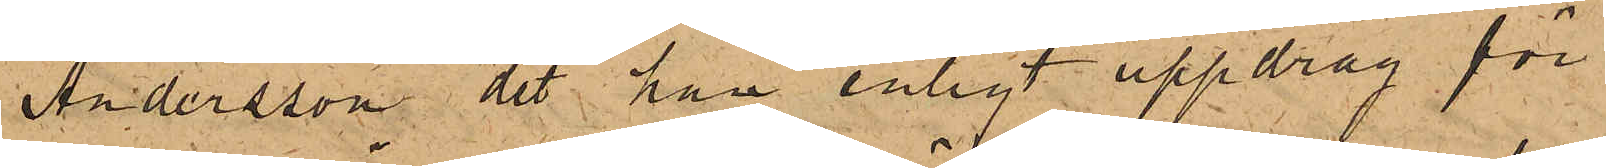Andersson det han enligt uppdrag för
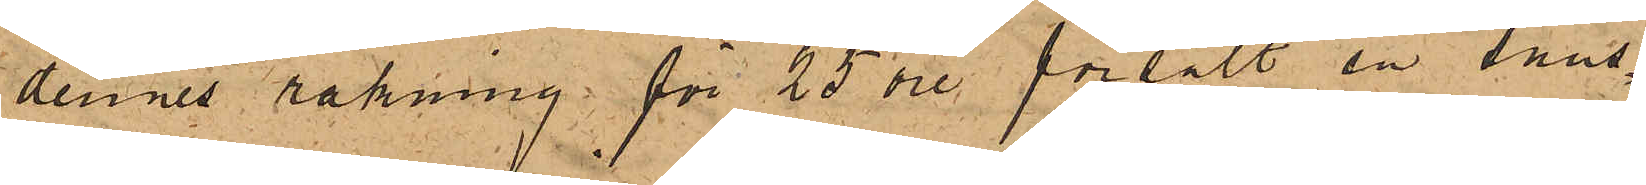dennes räkning för 25 öre försålt en snus¬
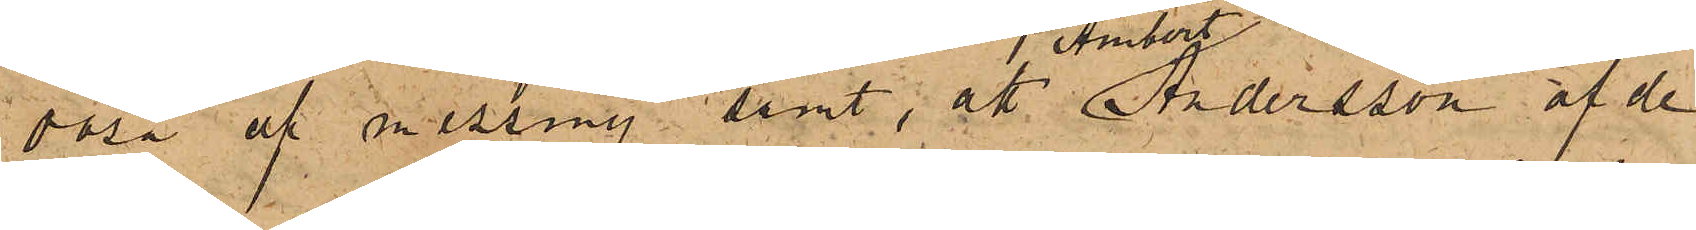dosa af messing samt, att Ambert Andersson af de
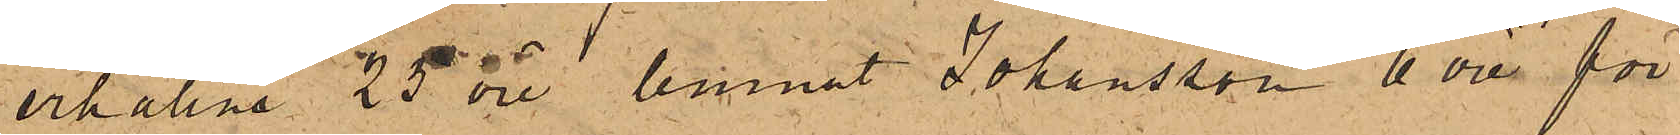erhållna 25 öre lemnat Johansson 6 öre för
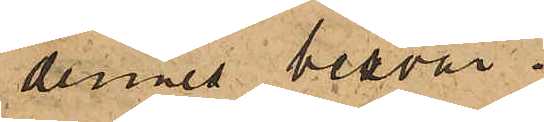dennes besvär.
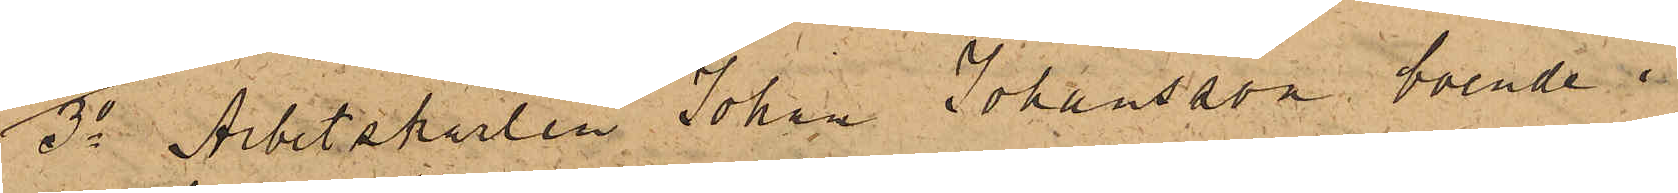3o Arbetskarlen Johan Johansson, boende i
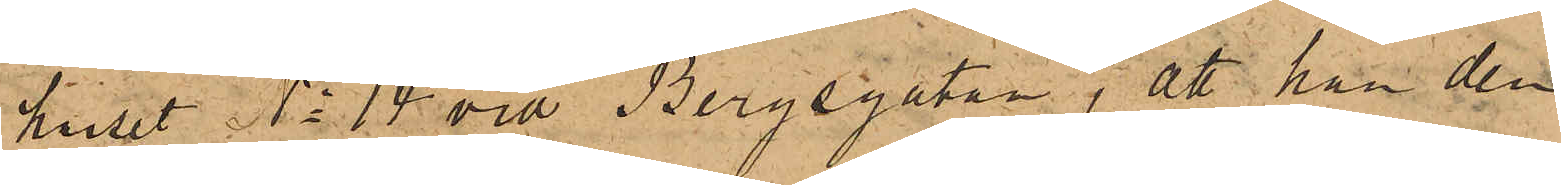huset No 14 vid Bergsgatan, att han den
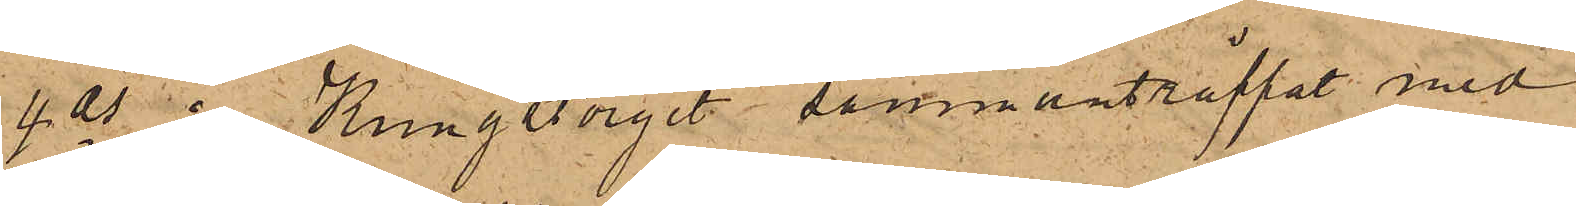4 ds å Kungstorget sammanträffat med
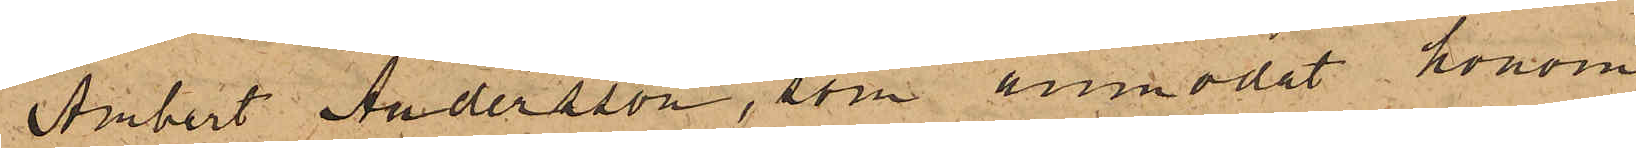Ambert Andersson, som anmodat honom
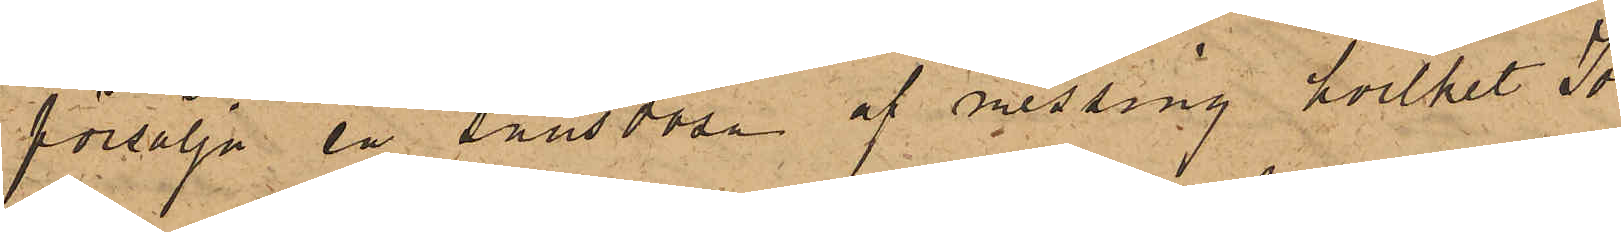försälja en snusdosa af messing, hvilket Jo¬
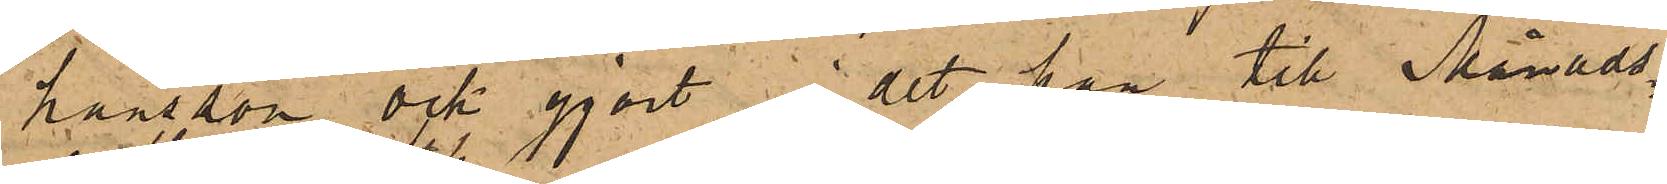hansson ock gjort i det han till Månads¬
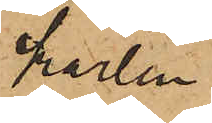karlen
